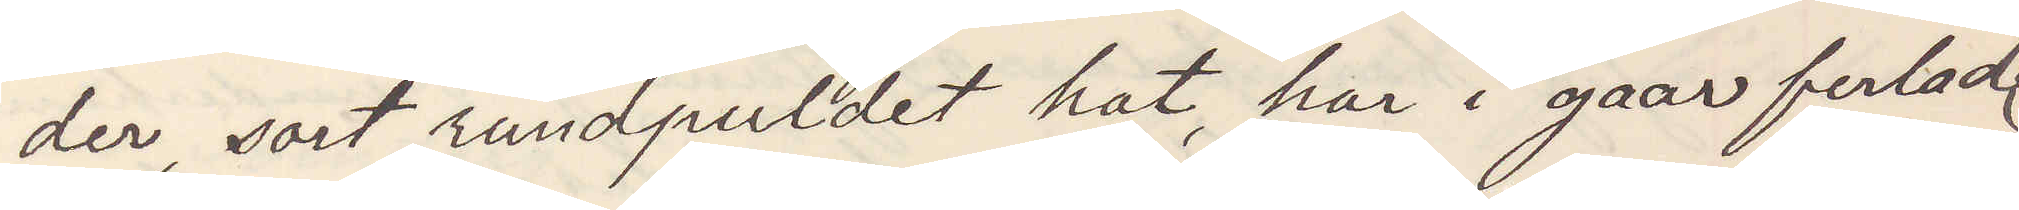der, sort rundpuldet hat, har i gaar ferladt
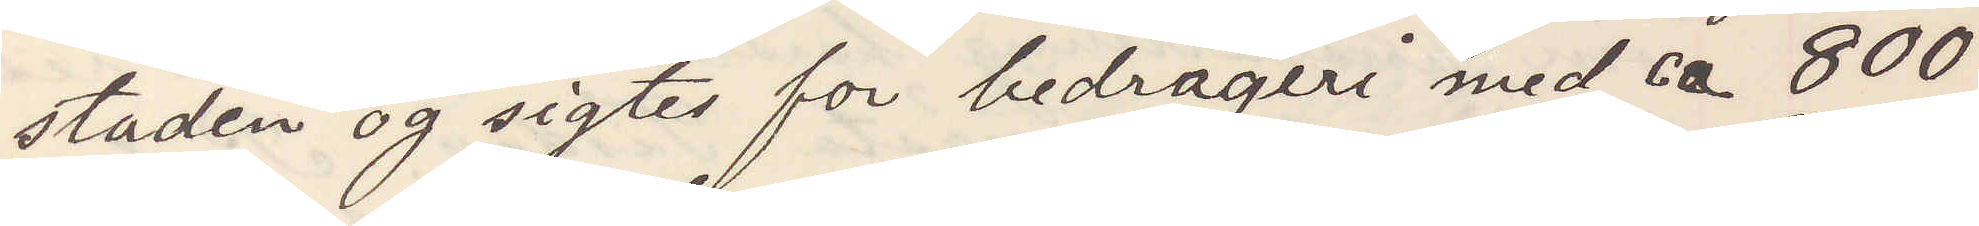staden og sigtes for bedrageri med ca 800
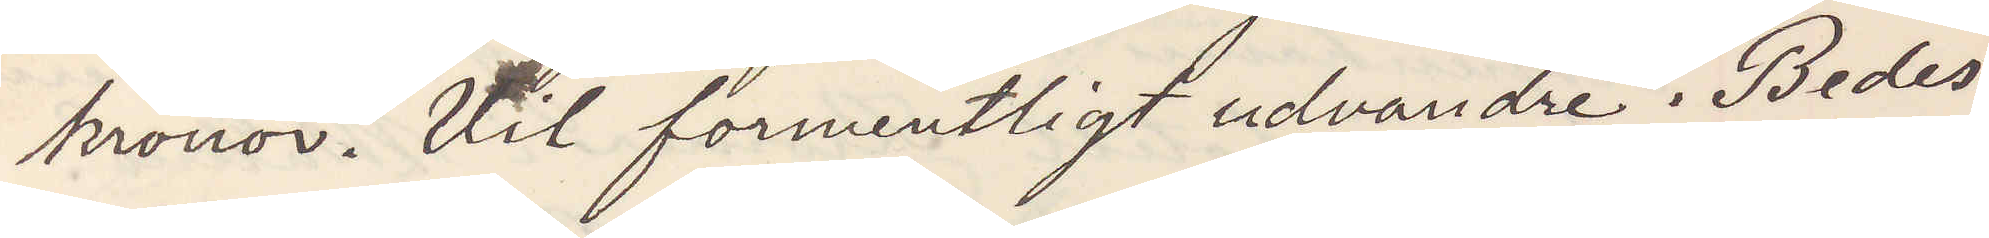kronor. Vil formentligt udvandre. Bedes
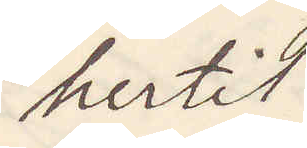hertil
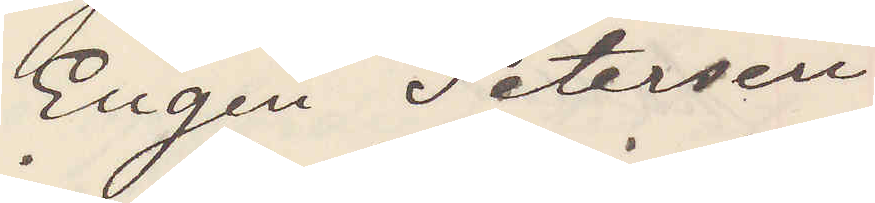Eugen Petersen
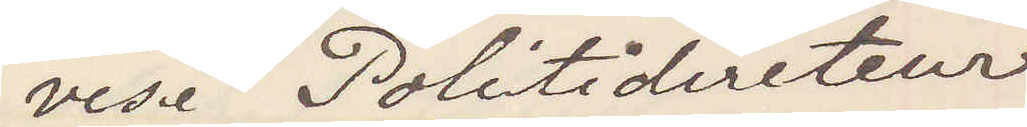vise Politidirecteur
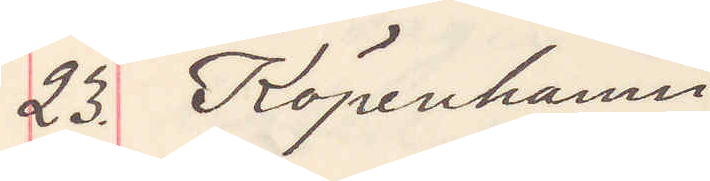23. Köpenhamn
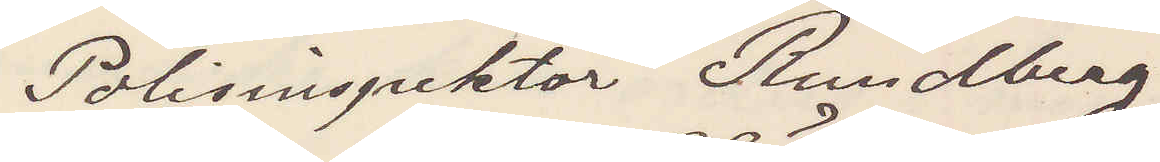Polisinspektör Rundberg
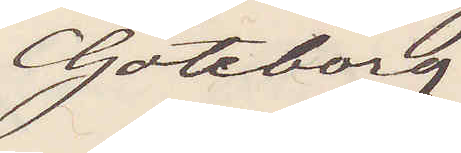Göteborg
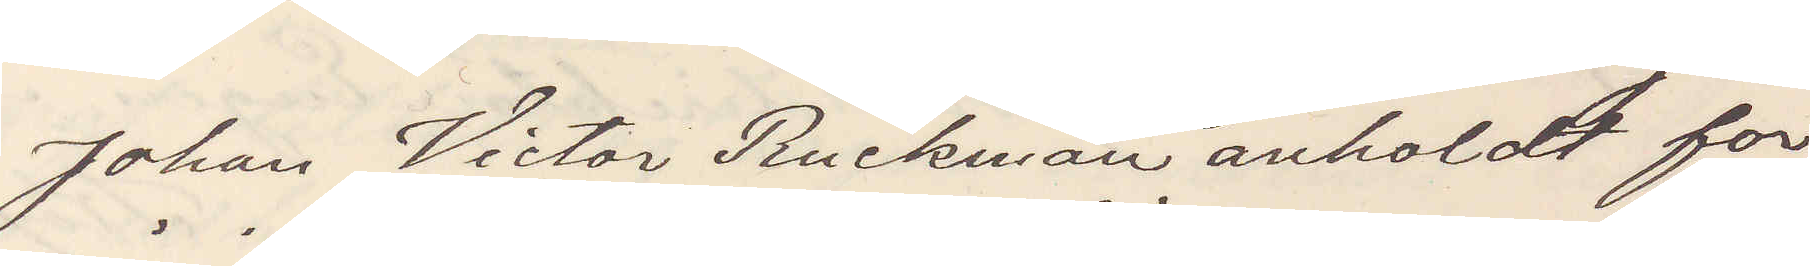Johan Victor Ruckman anholdt for
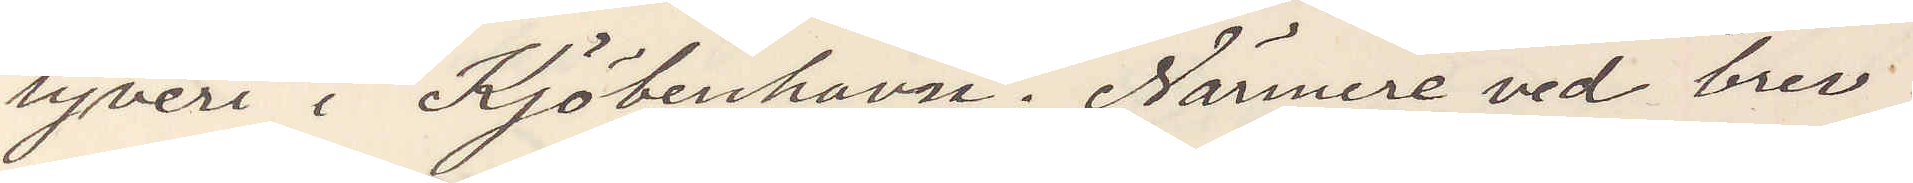tyveri i Kjöbenhavn. Närmare ved brev
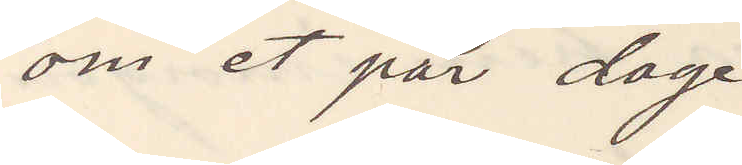om et par dage
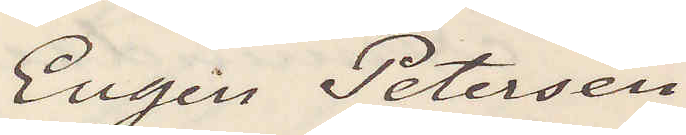Eugen Petersen
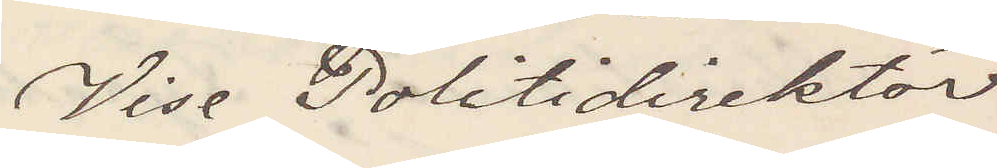Vise Politidirektör
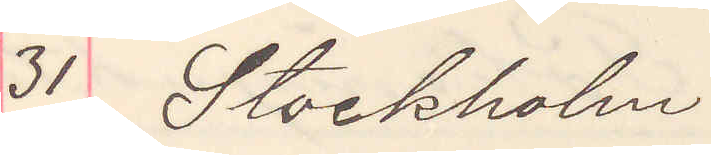31 Stockholm.
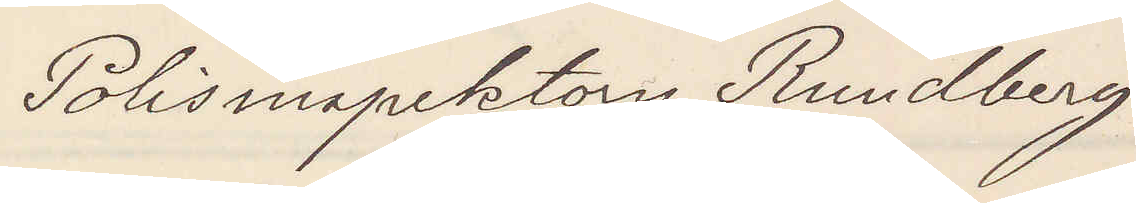Polisinspektorn Rundberg
